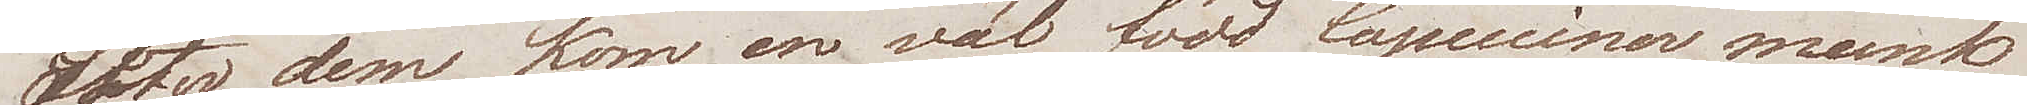Efter dem kom, en väl född Capucciner munk
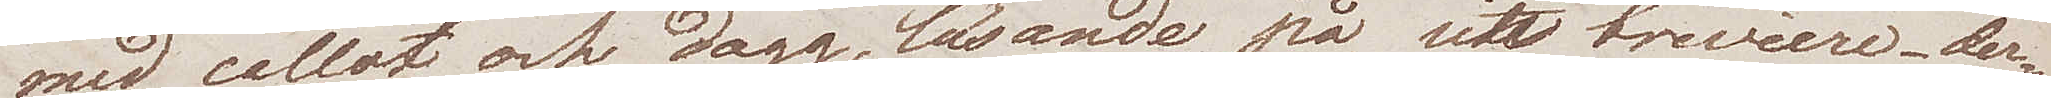med callot och dagg, bärande på sitt breviere, der¬
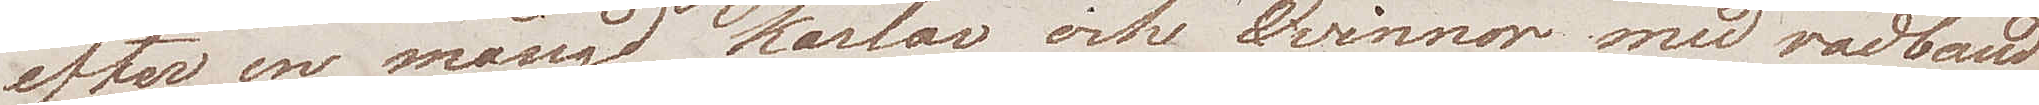efter en mängd Karlar och Qvinnor med radband
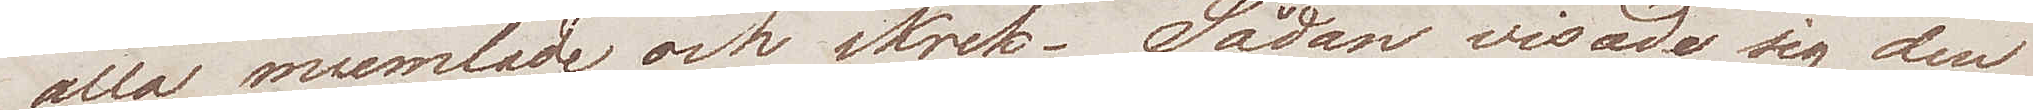alla mumlade och skrek. Sådan visade sig den
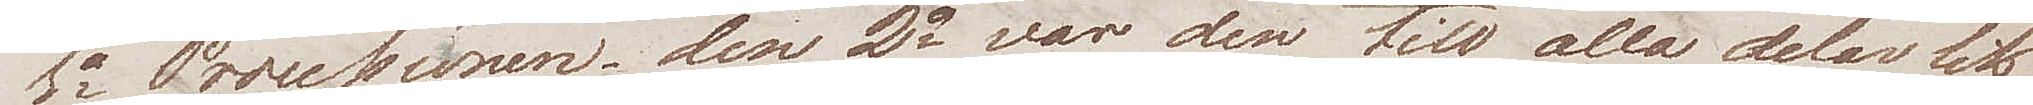1a Processionen, den 2a var den till alla delar lik
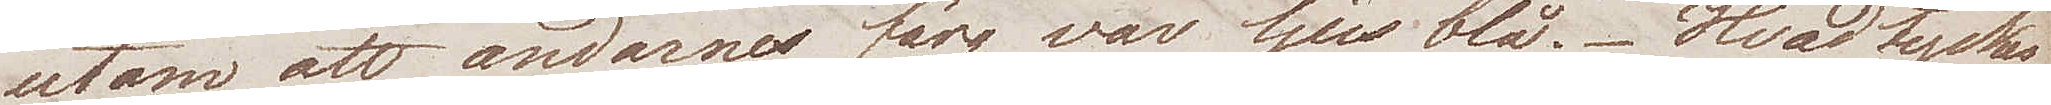utom att andarnes färg var ljus blå. Hvad tyckes
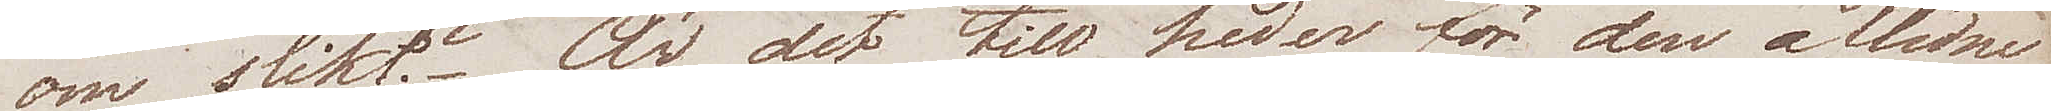oss slikt? Är det till heder för den aflidne
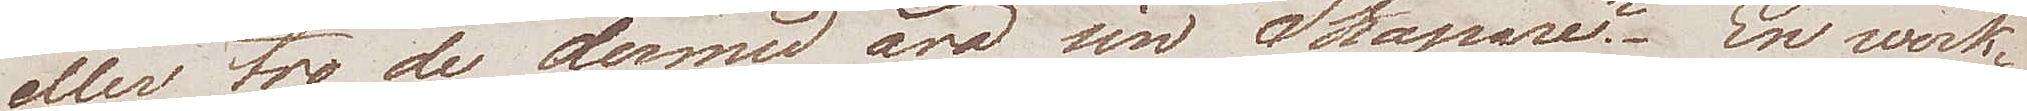eller tro de dermed ära sin Skapare? En werk¬
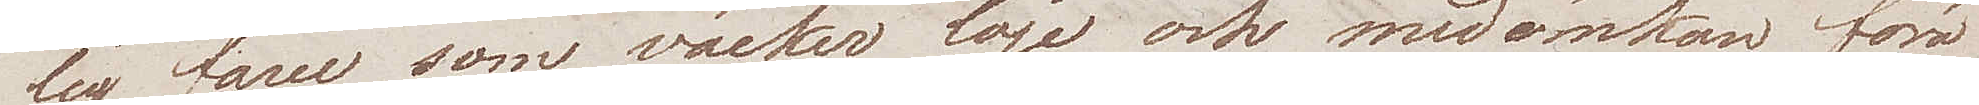lig farce som väcker löje och medömkan föra
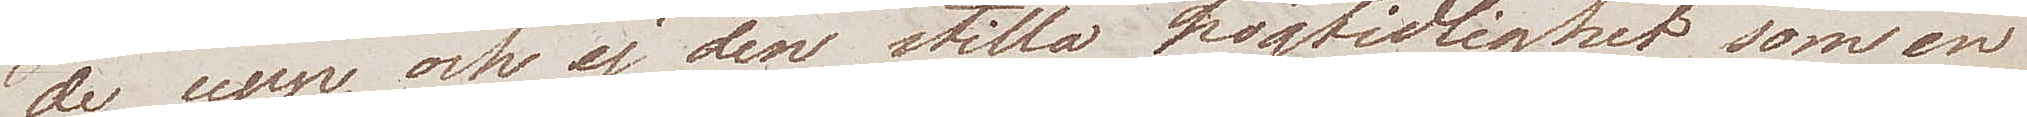de upp, och ej den stilla högtidlighet som en
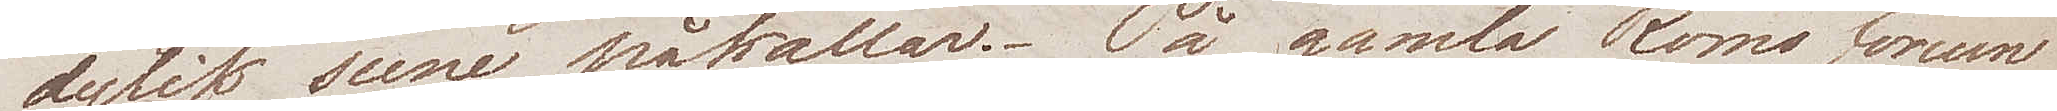dylik scen påkallar. På gamla Roms forum
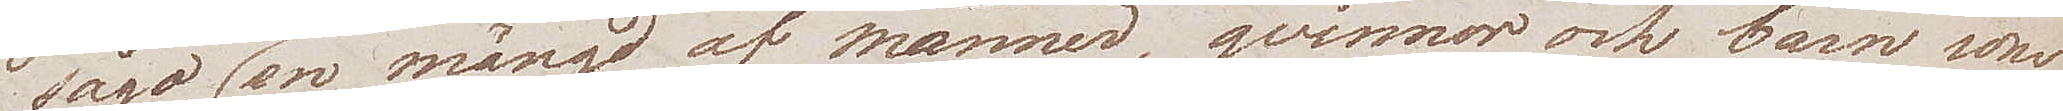sågo wi en mängd af männer, qvinnor och barn som
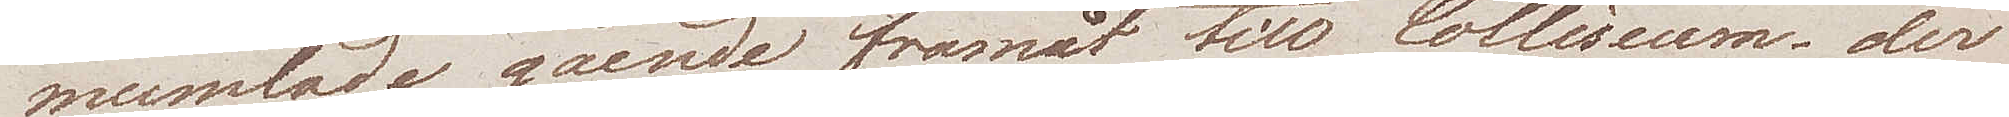mumlade gående framåt till Colliseum, der
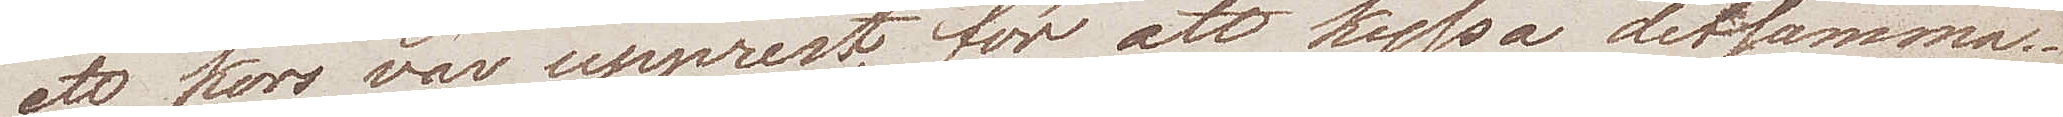ett kors var upprest, för att kyssa detsamma.
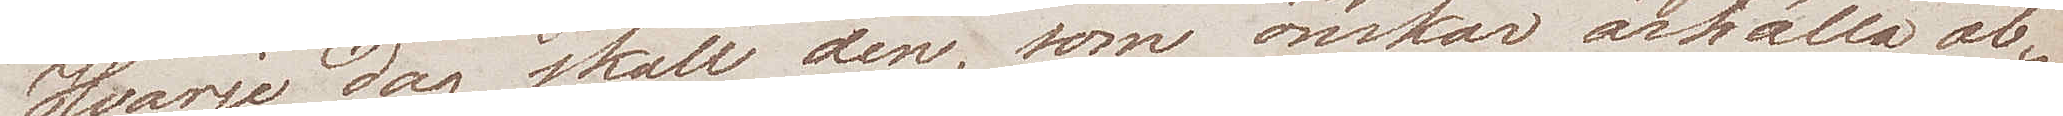Hvarje dag skall den, som önskar ärhålla ab¬
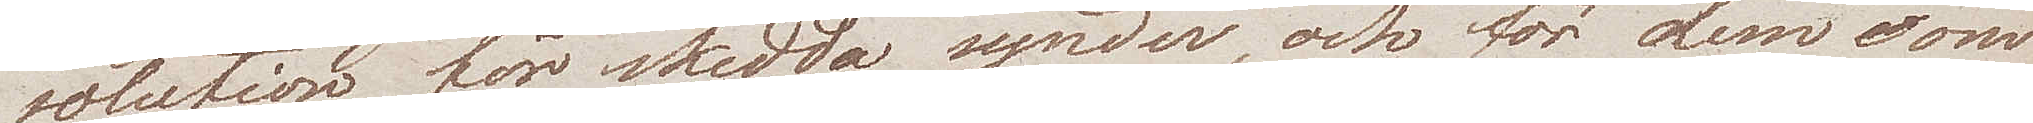solution för skedda synder, och för dem som
